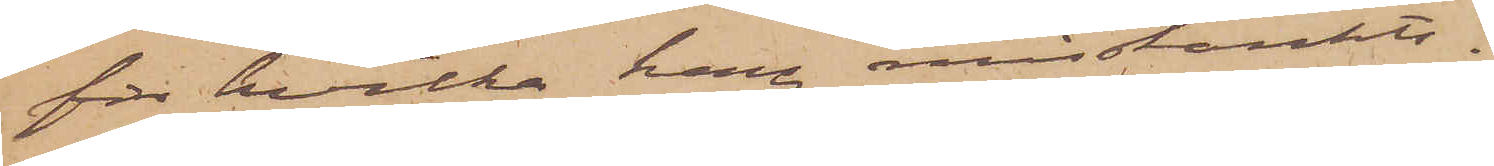för hvilka han misstänkts.
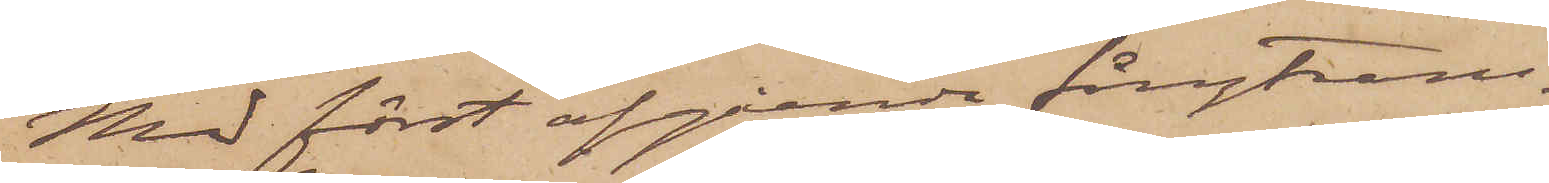Med först afgående fångtrans¬
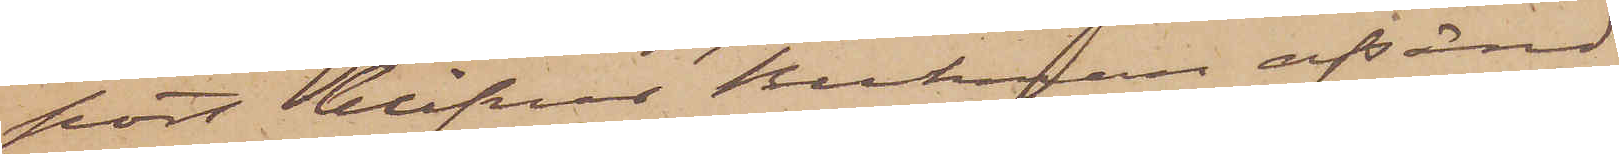port blifver Beckman afsänd
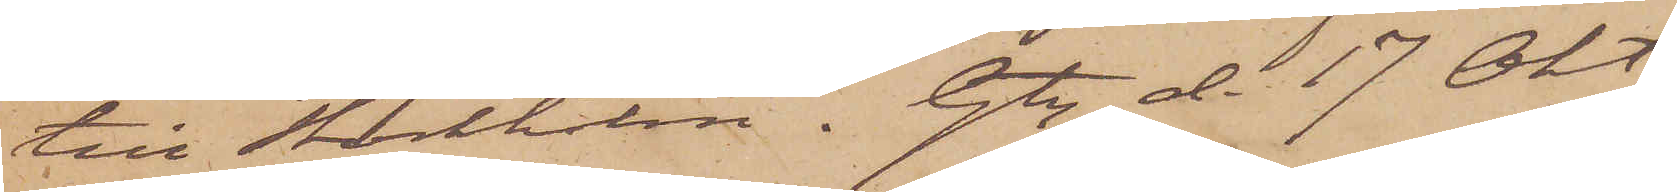till Stockholm. Gtg d. 17 Okt.
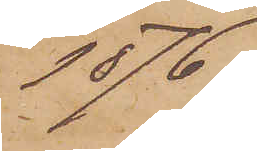1876.
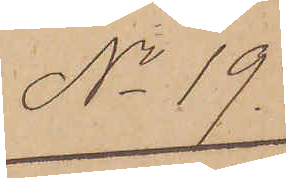No 19
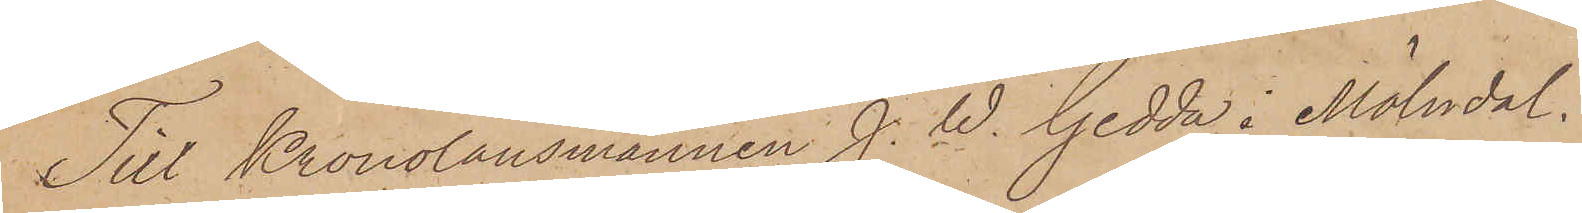Till Kronolänsmannen J. W. Gedda i Mölndal.
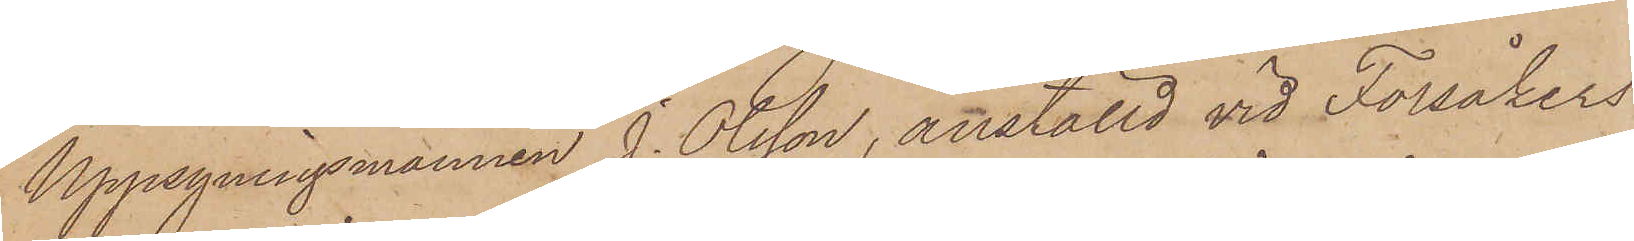Uppsyningsmannen J. Olsson, anställd vid Forsåkers
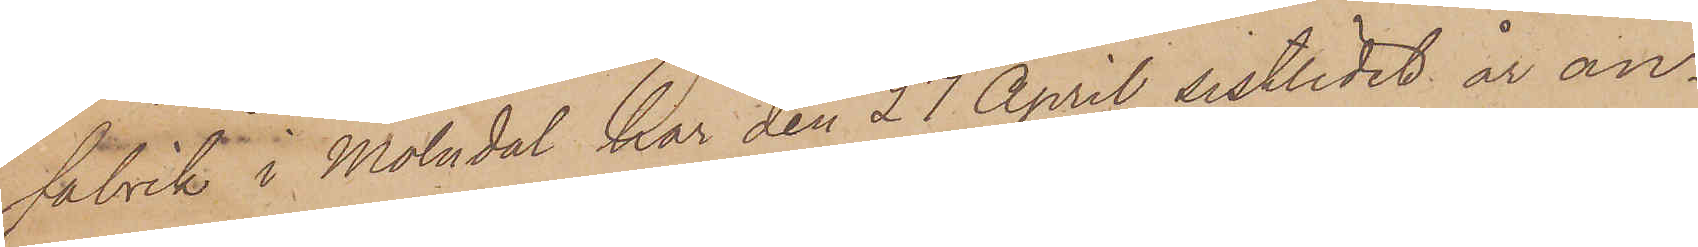Fabrik i Mölndal har den 27 April sistlidet år an¬
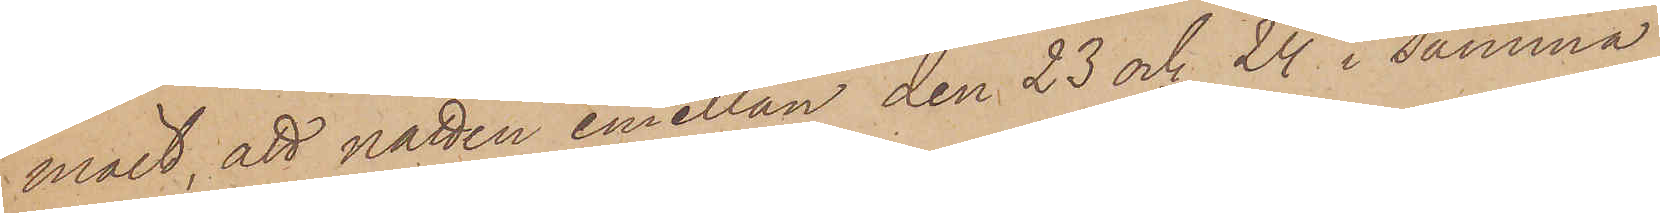mält, att natten emellan den 23 och 24 i samma
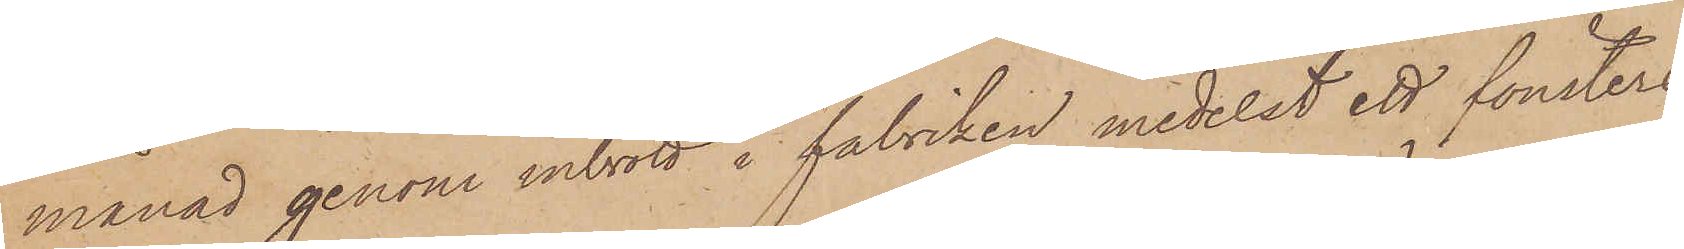månad genom inbrott i fabriken medelst ett fönsters
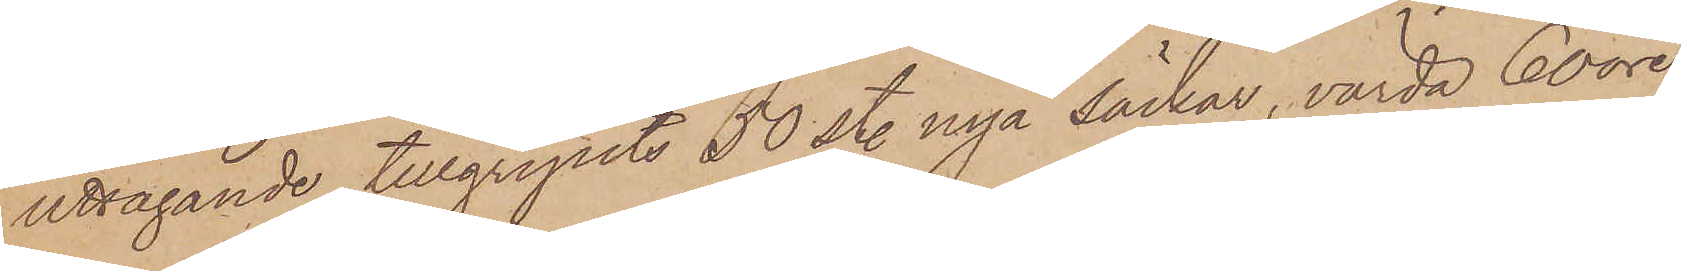uttagande tillgripits 50 st. nya säckar, värda 60 öre
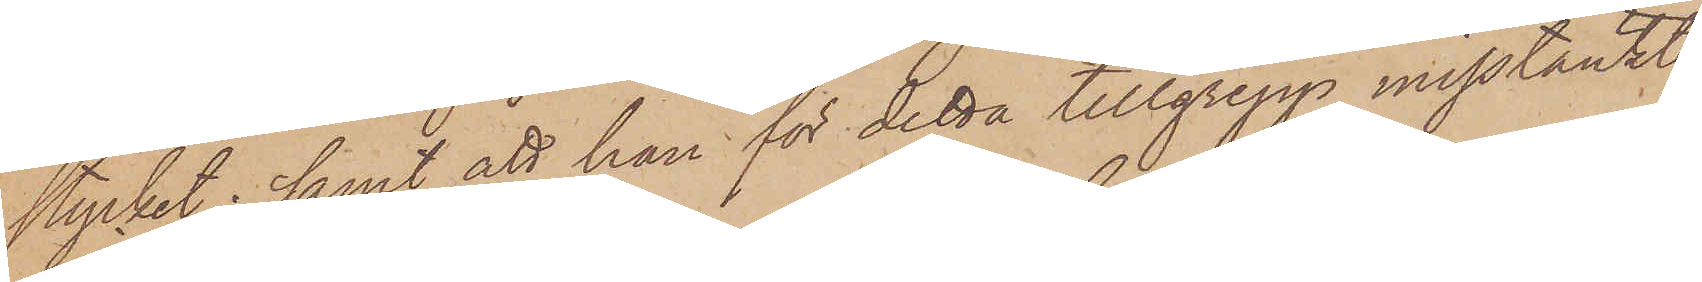stycket; samt att han för detta tillgrepp misstänkte
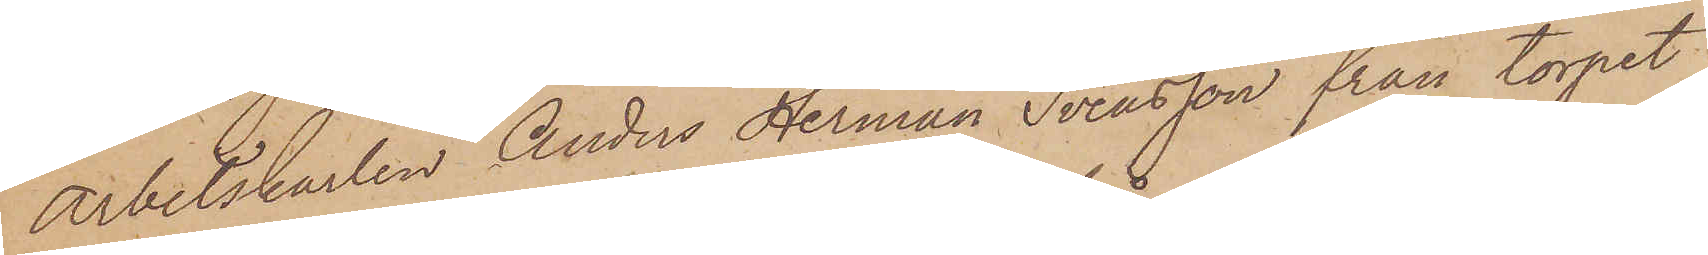Arbetskarlen Anders Herman Svensson från torpet
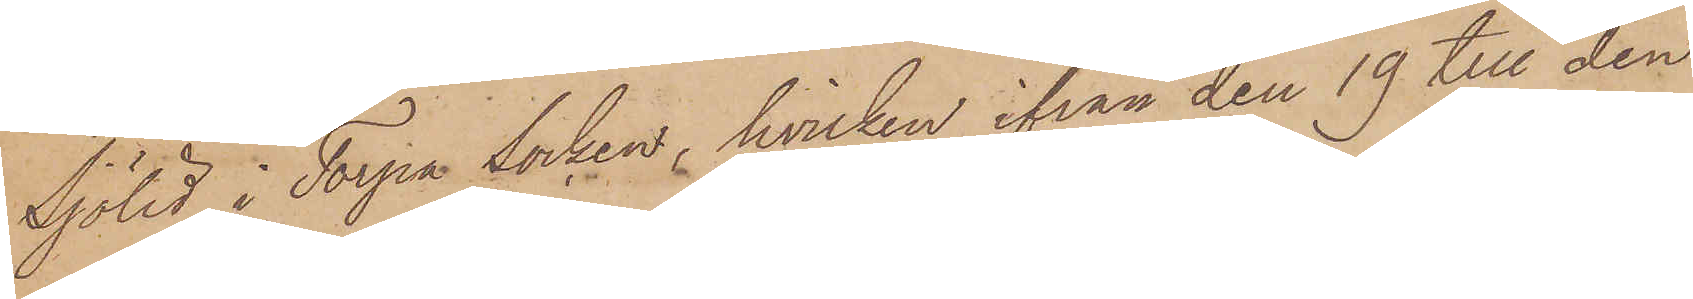Sjölid i Torpa socken, hvilken ifrån den 19 till den
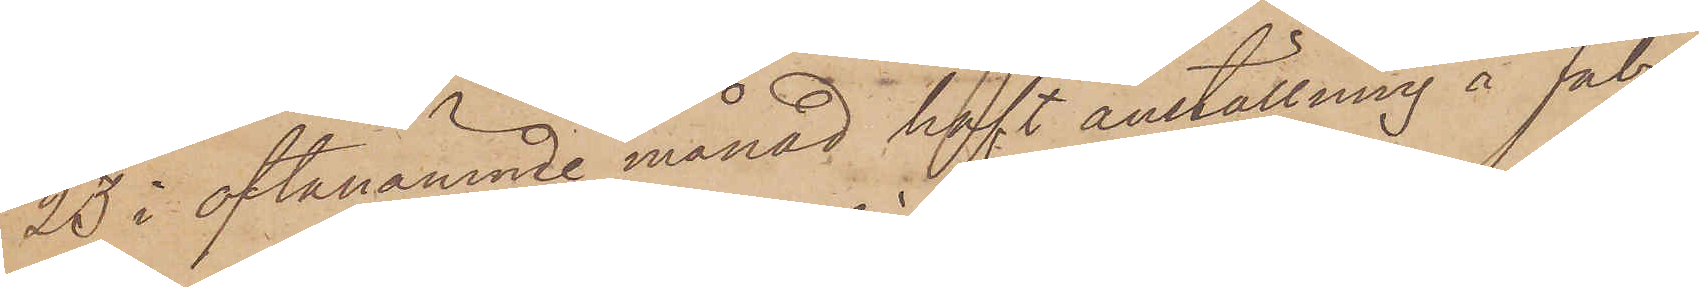23 i oftanämnde månad haft anställning å Fabri¬
